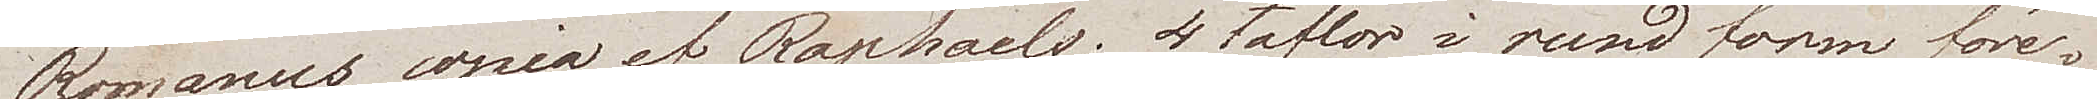Romanus, copia af Raphaels; 4 taflor i rund form före¬
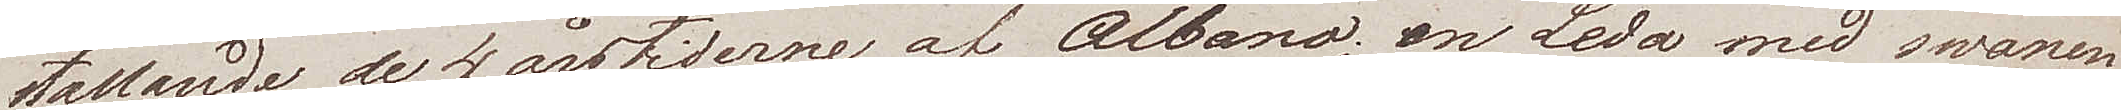stellande de 4 årstiderne af Albano, en Leda med svanen
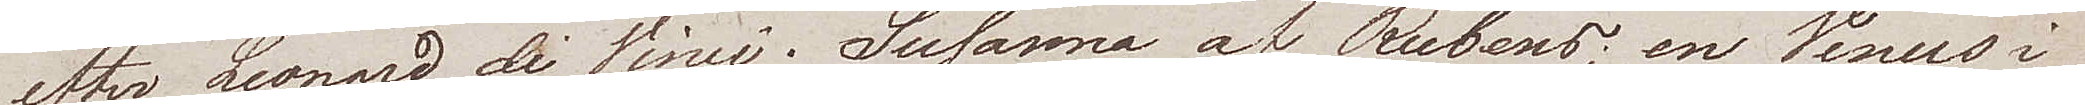efter Leonard di Vinci; Susanna af Rubens, en Venus i
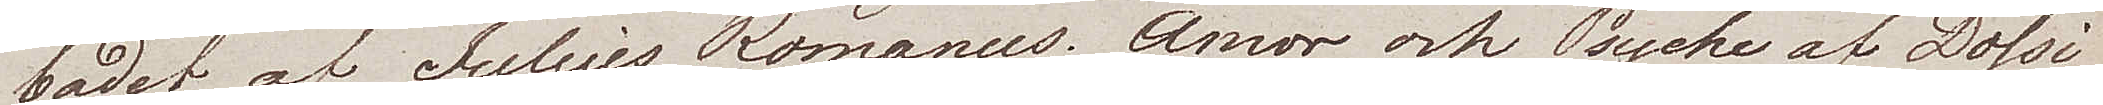badet af Julius Romanus; Amor och Psyche af Dossi
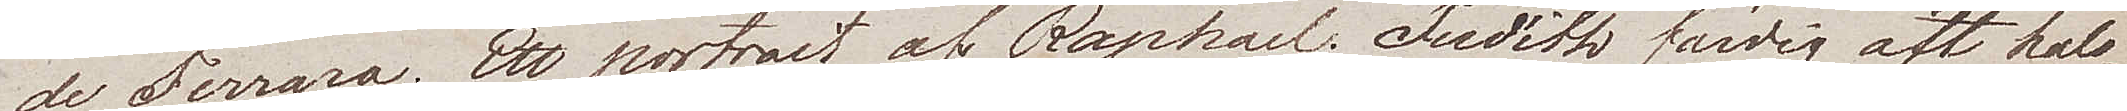de Ferrara; Ett portrait af Raphael; Judith färdig att hals¬
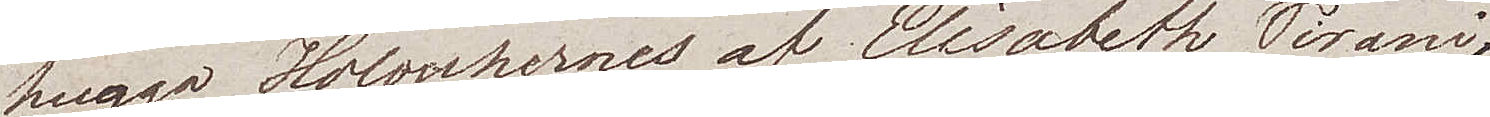hugga Holophernes af Elisabeth Sirani;
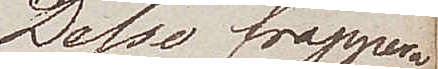Desse frappera
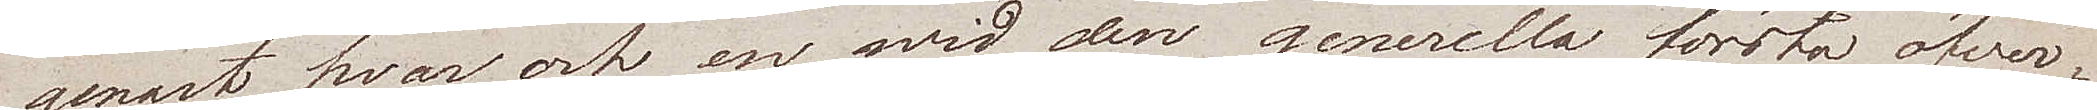genast hvar och en med den generella första öfwer¬
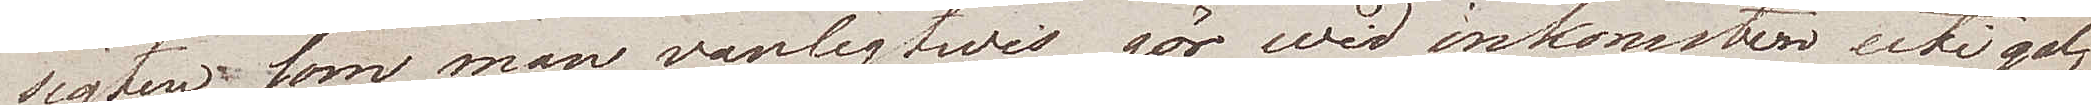sigtens som man vanligtwis gör wid inkomsten uti gal¬
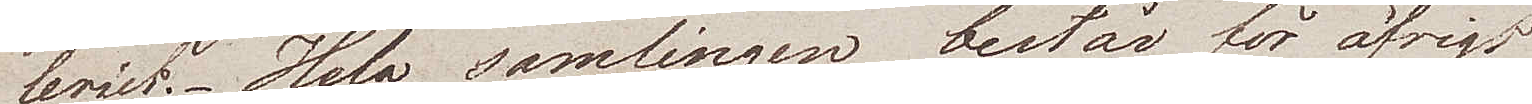leriet. Hela samlingen består för öfrigt
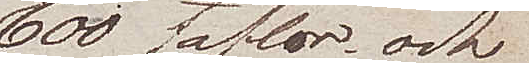600 taflor och
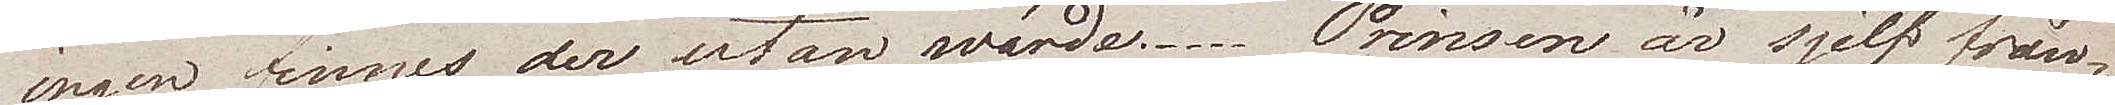ingen finnes der utan wärde. Prinsen är sjelf från¬
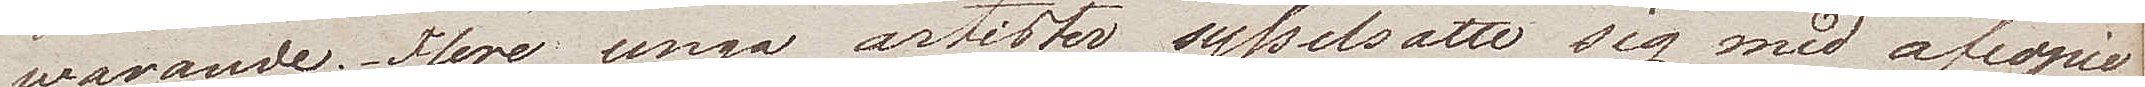warande; flere unga artister sysselsatte sig med afcopie¬
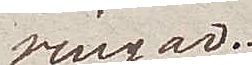ringar.
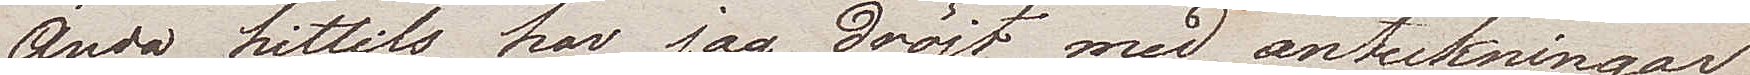Ända hittills har jag dröjt med anteckningar
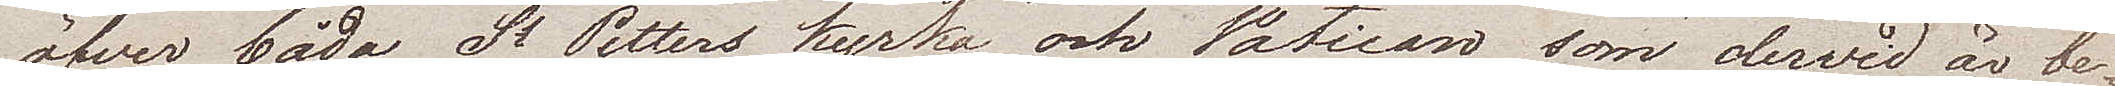öfwer både St Petters kyrka och Vatican som dervid är be¬
